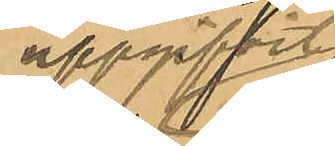uppgifvit
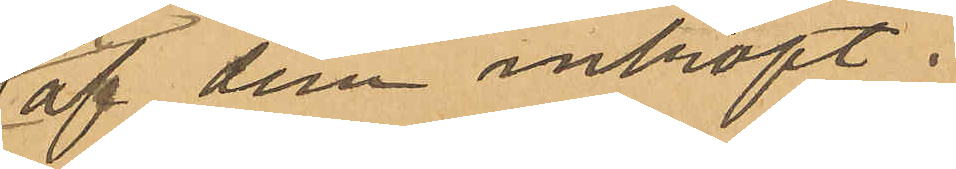af dem inköpt.
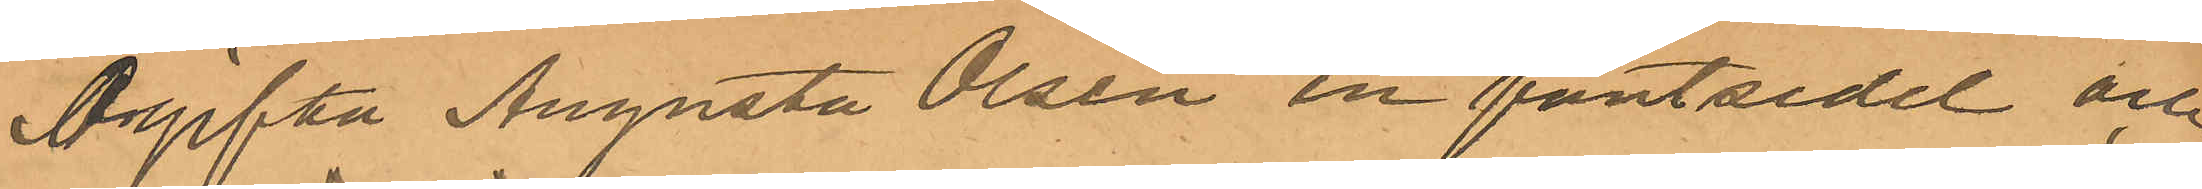Ogifta Augusta Olsén en pantsedel och
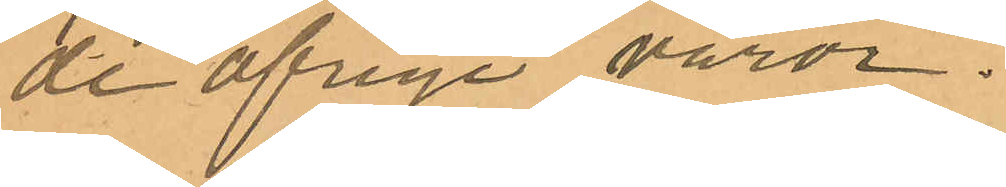de öfriga varor.
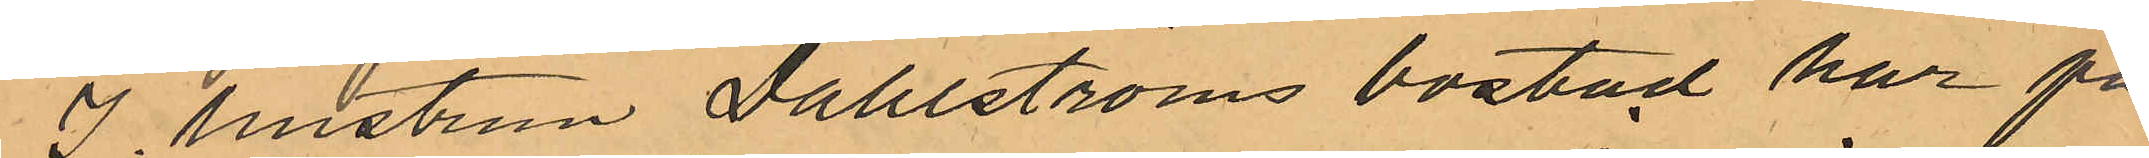I hustrun Dahlströms bostad har på¬
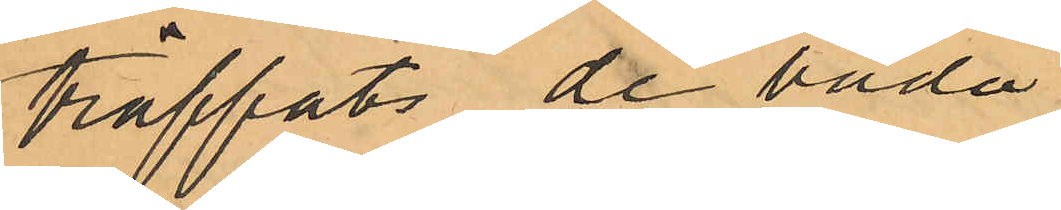träffats de båda i
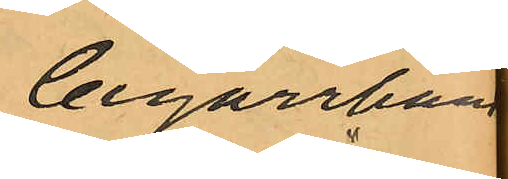Cigarrhand¬
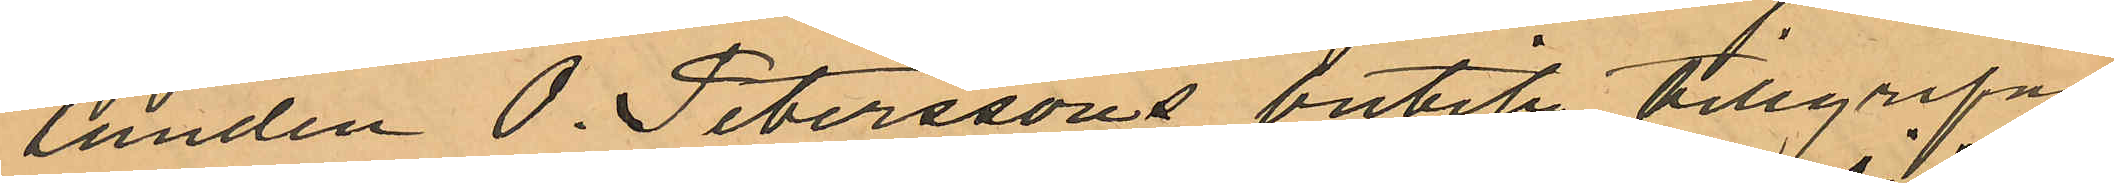landen O. Peterssons butik tillgripne
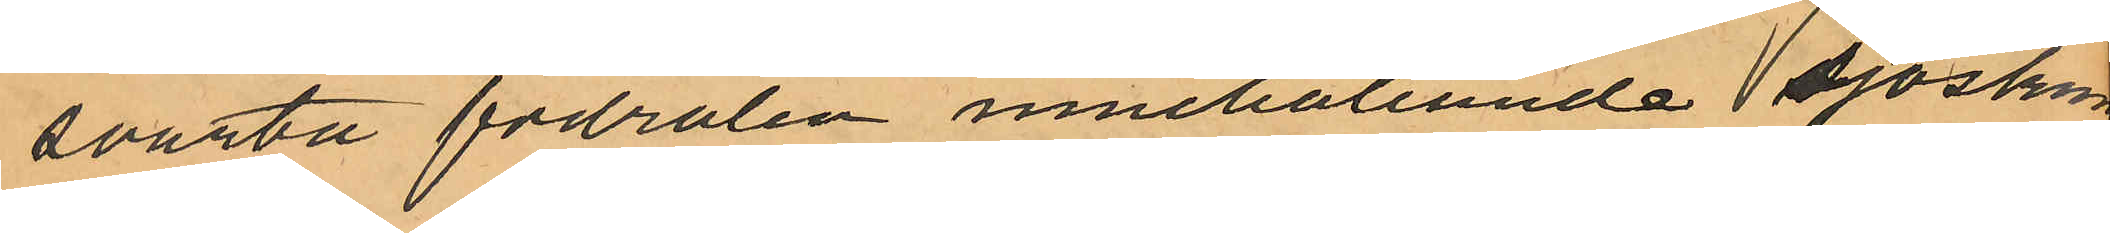svarta fodralen innehållande sjöskum¬
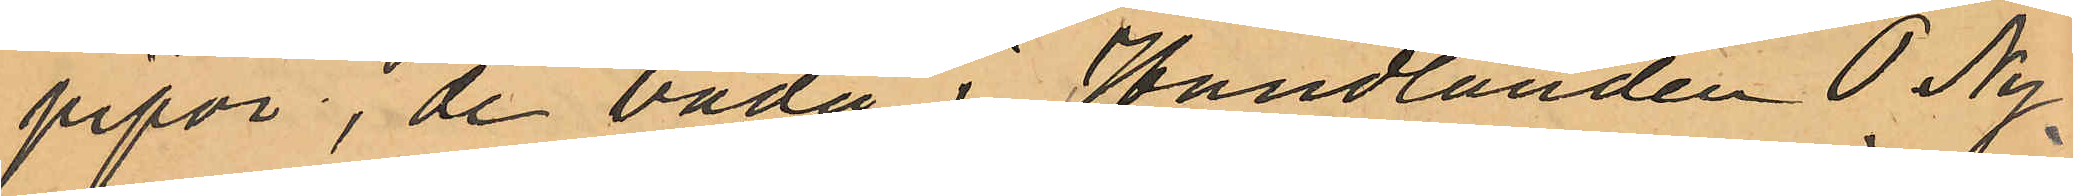pipor, de båda i Handlanden P. Ny¬
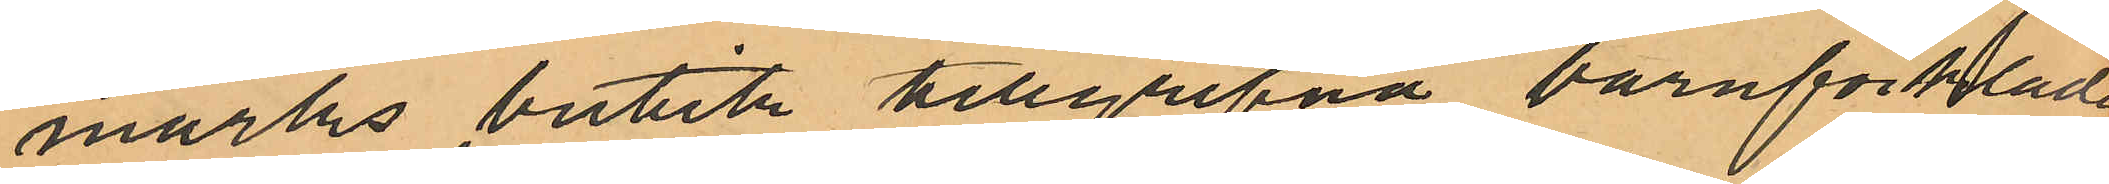marks butik tillgripna barnförklä¬
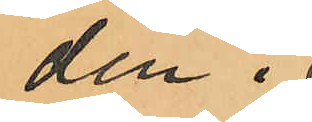den i
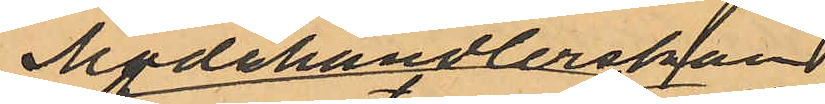Modehandlerskan
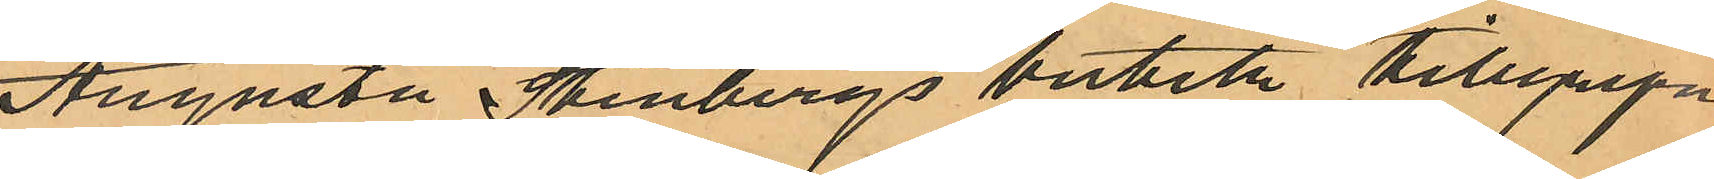Augusta Stenbergs butik tillgripna
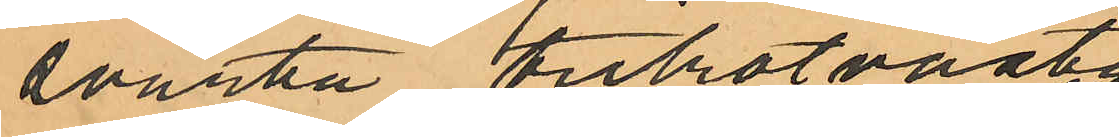svarta trikotvästen,
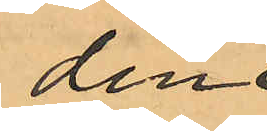den
